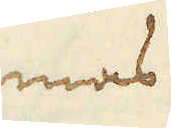mas
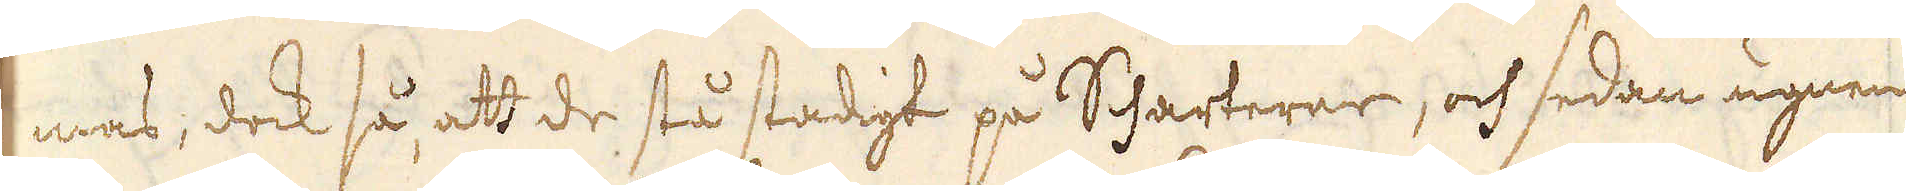mas, dock så, att de stå stadigt på Scharterne, och sedan ugnen
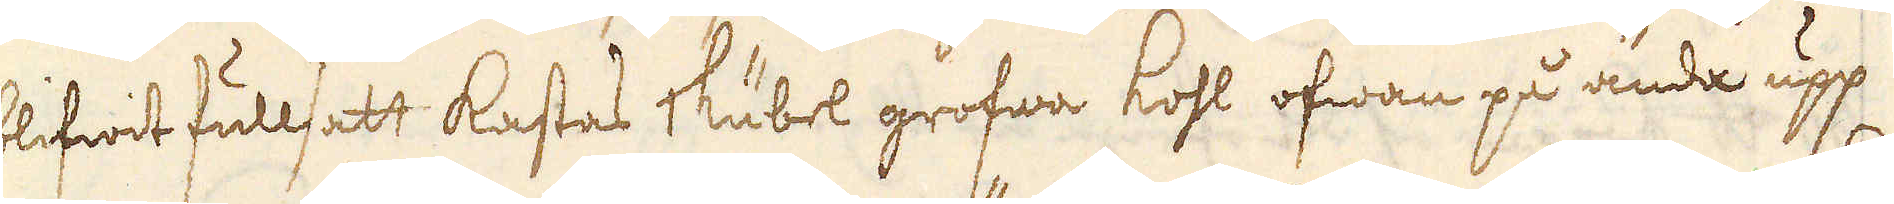blifwit fullsatt kastas 1 kubel grofwa kohl ofwan på ända upp
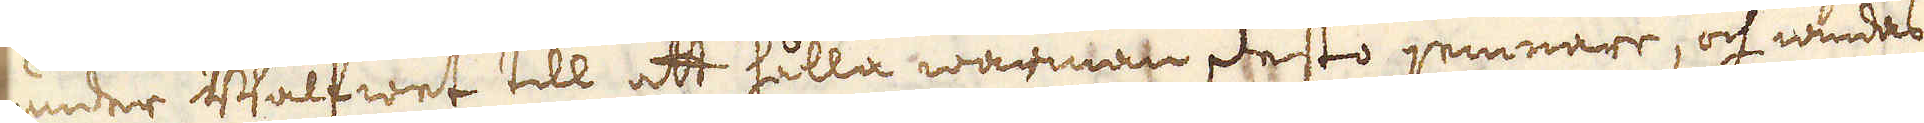under Walfwet till att hålla wärman desto jemnare, och wridas
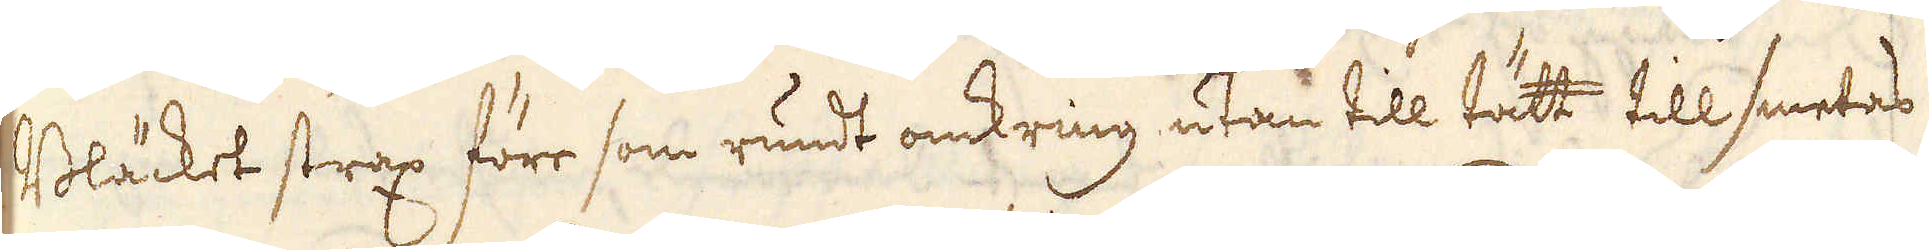Bläcket strax före som rundt omkring utan till tätt till smetas
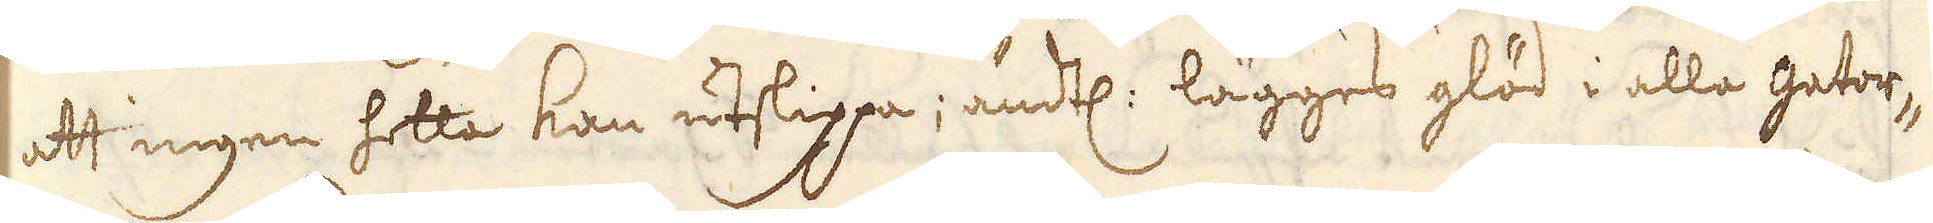att ingen hetta kan utslippa; ändtl: lägges glöd i alla gator-
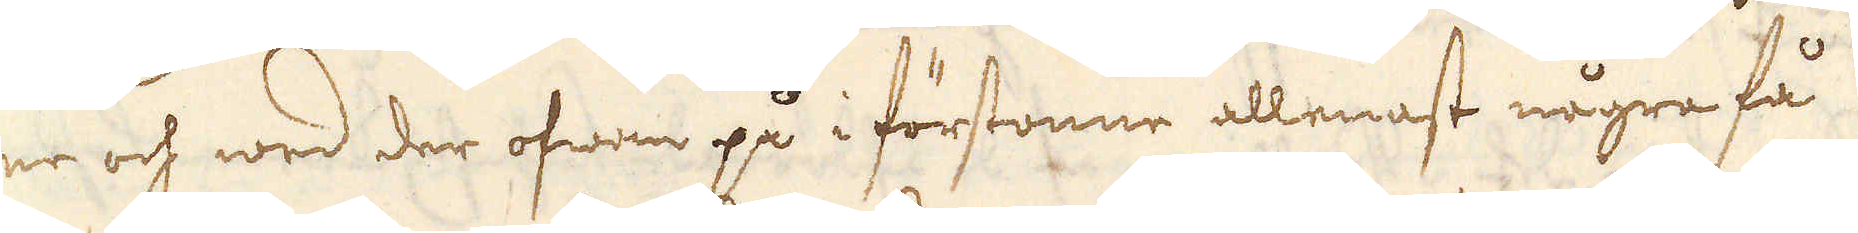ne och wed der ofwan på i förstonne allenast några få
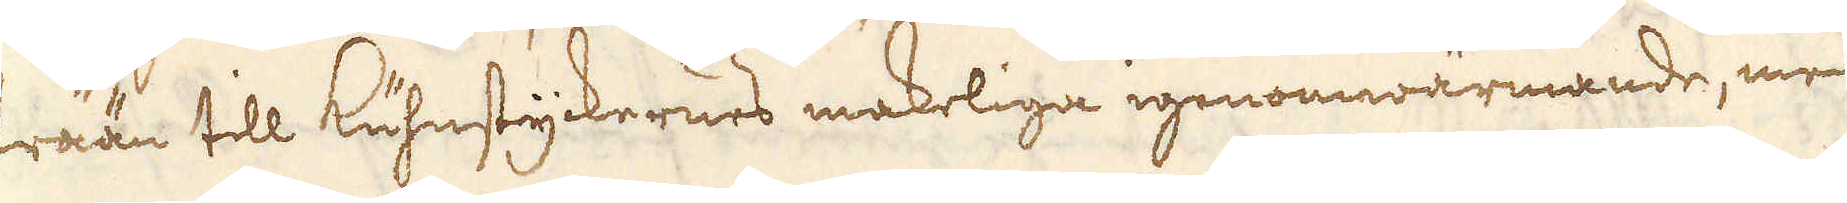trään till kuhnstyckernes makeliga igenomwärmande, men
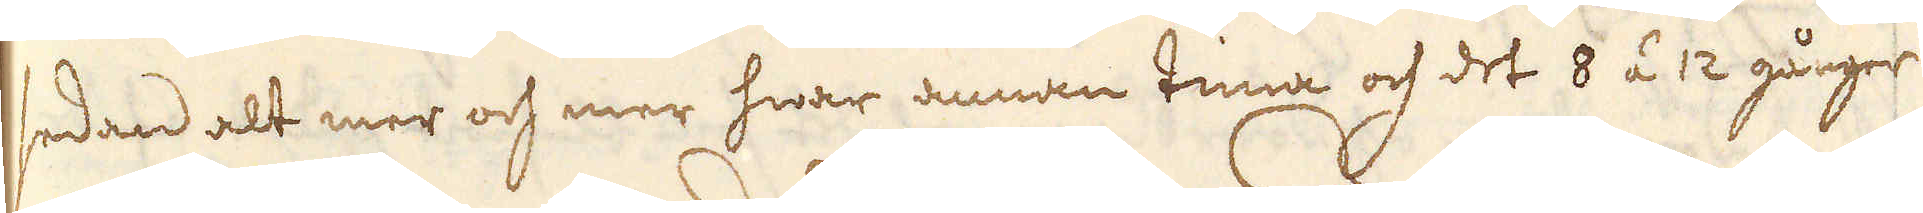sedan alt mer och mer hwar annan tima och det 8 á 12 gånger
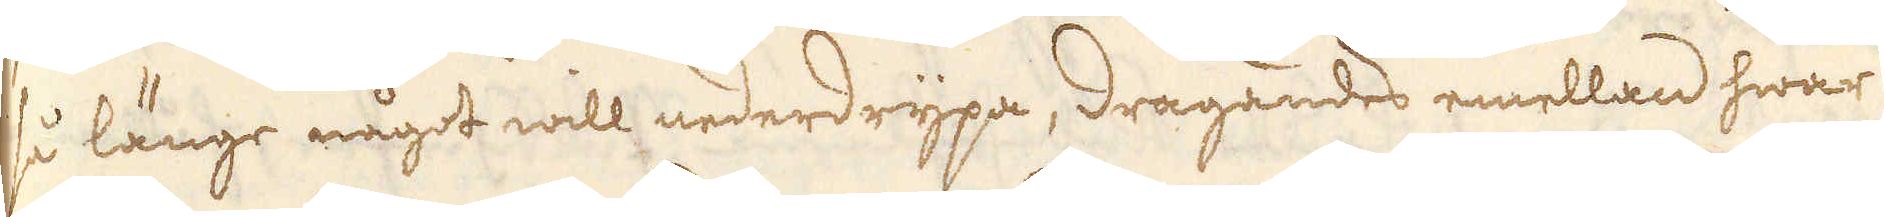så länge något will nederdrypa, dragandes emellan hwar
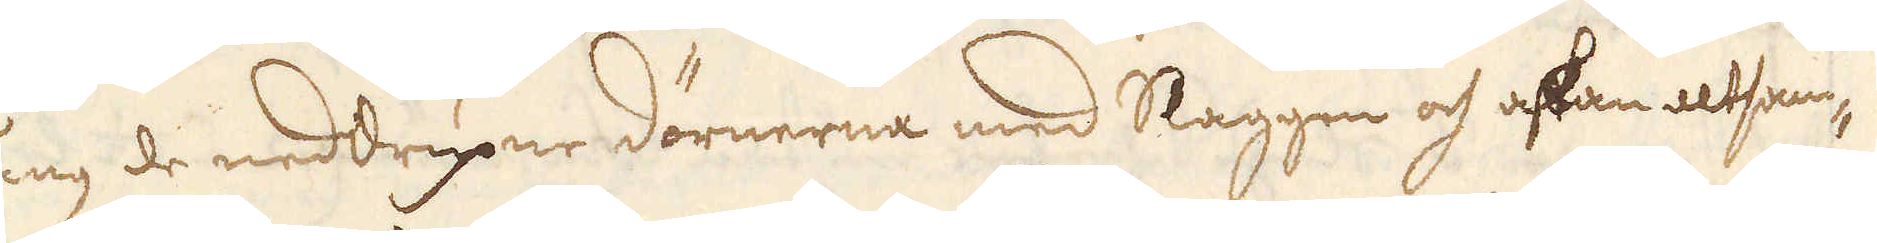gång de neddryper dörnerna med Slaggen och askan altsam-
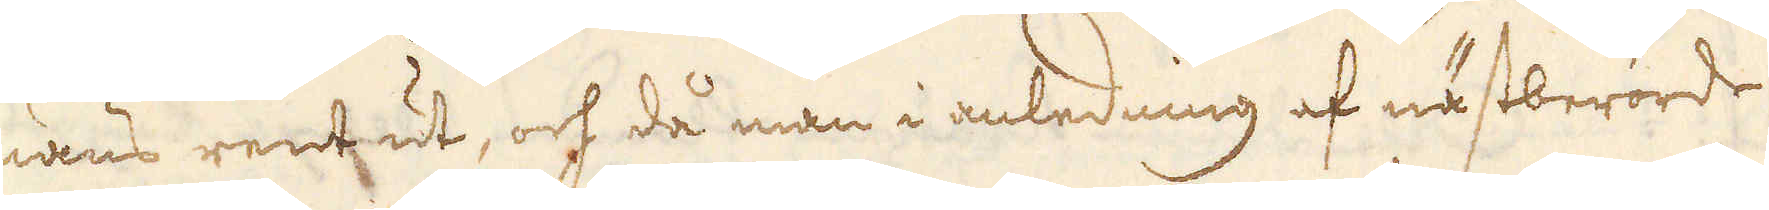mans rent ut, och då man i anledning af nästberörde
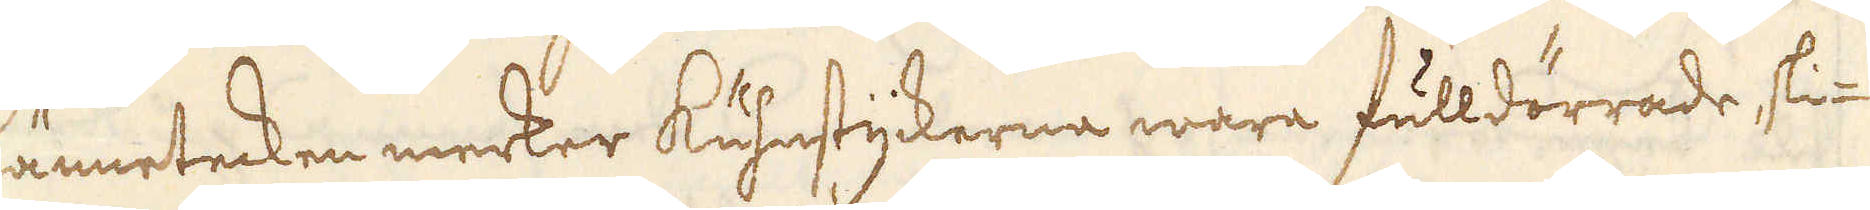kännetecken merker kuhnstyckerne wara fulldörrade ski-
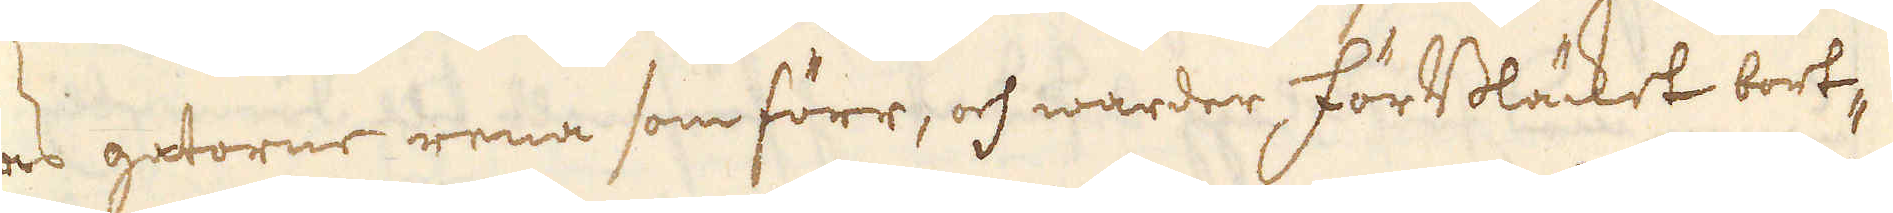tas gatorne rena som förr, och warder, förBläcket bort-
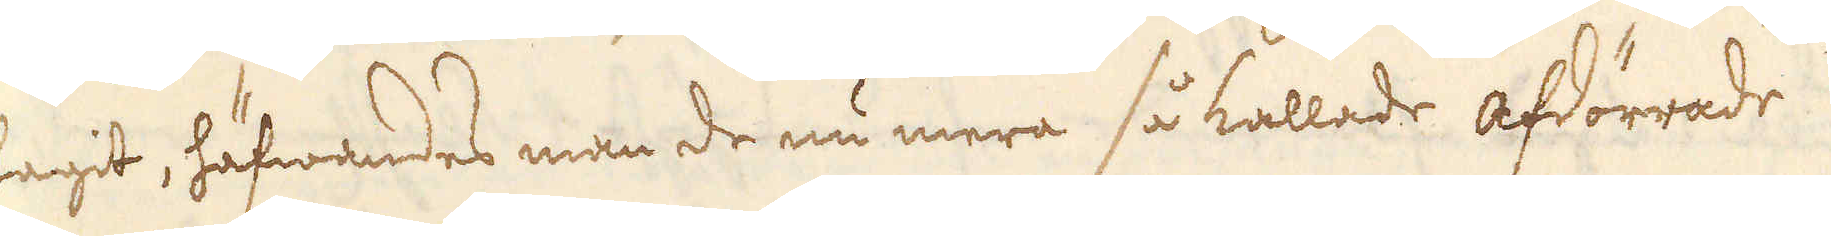tagit, häfwandes man de nu mera så kallade afdörrade
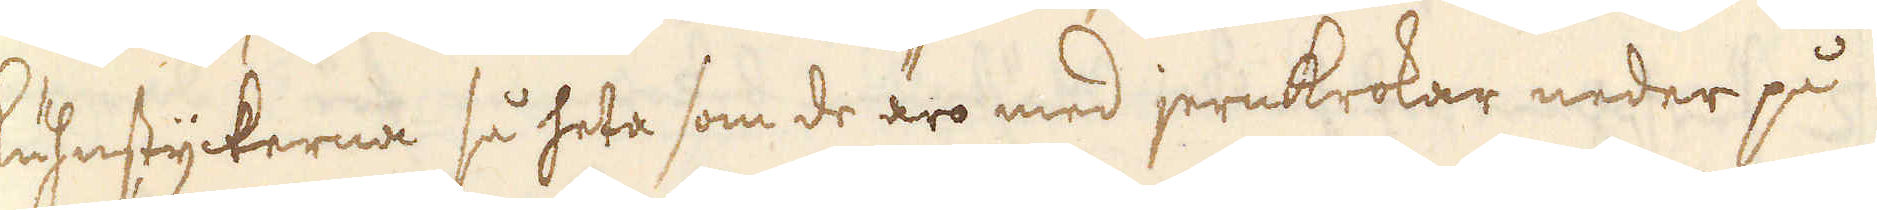kuhnstyckerna så heta som de äro med jernkrokar neder på
